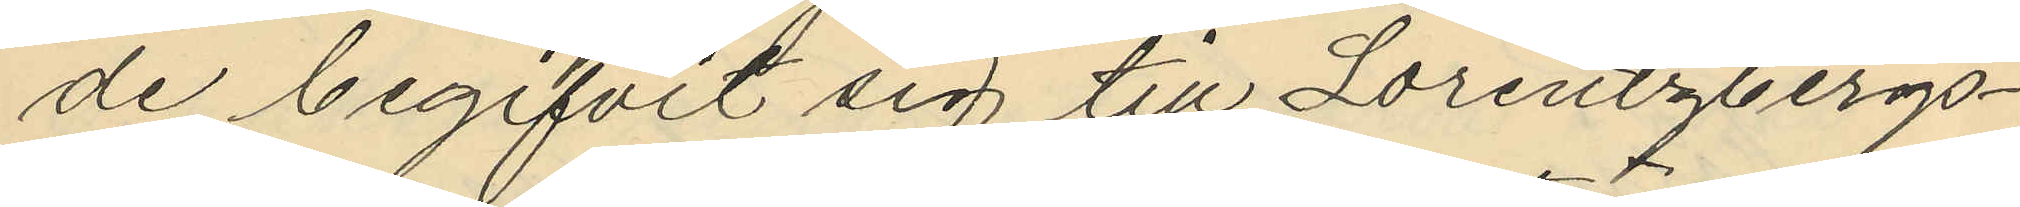de begifvit sig till Lorentzbergs¬
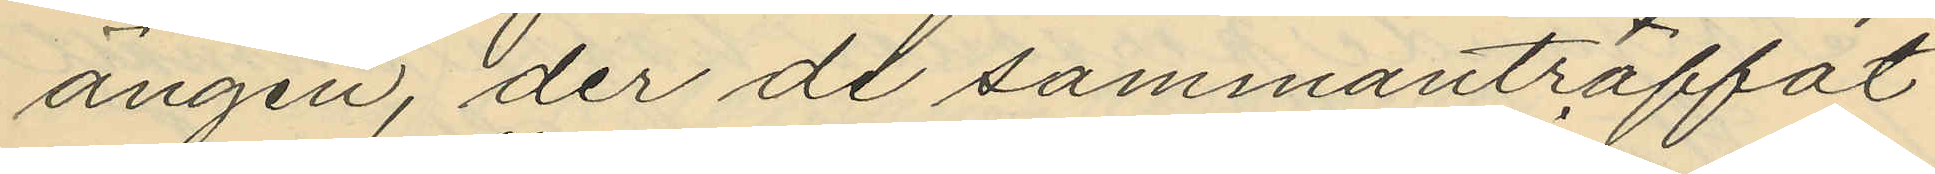ängen, der de sammanträffat
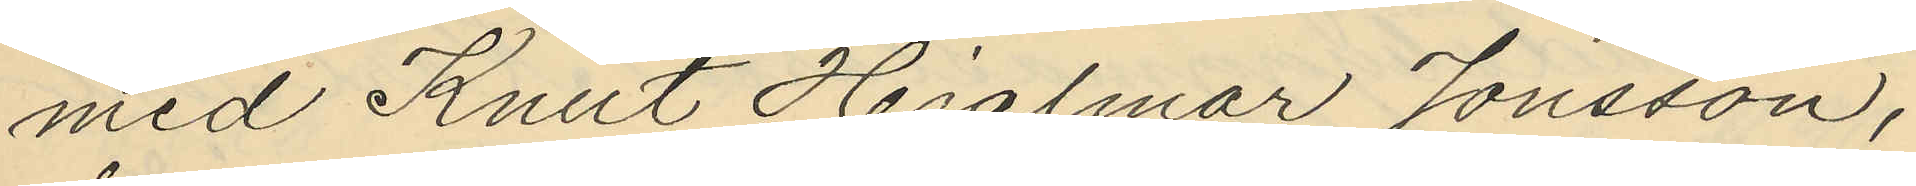med Knut Hjalmar Jonsson,
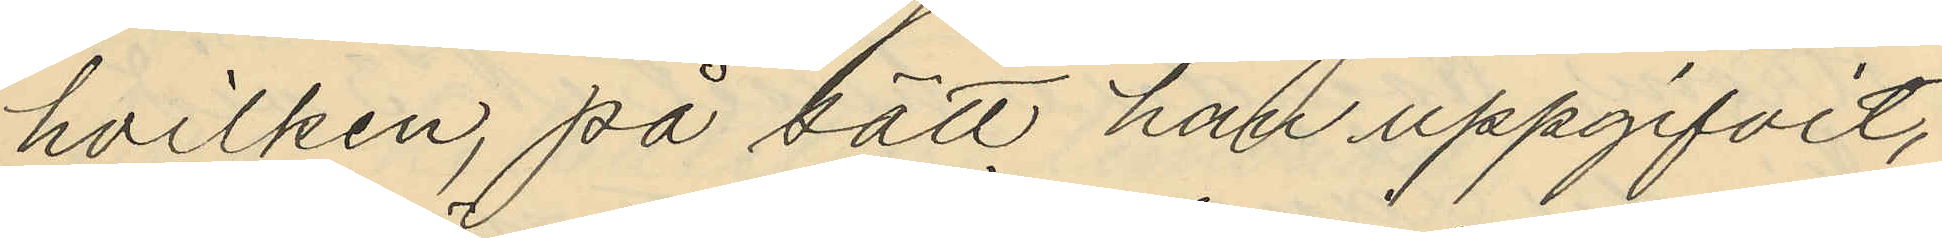hvilken på sätt han uppgifvit,
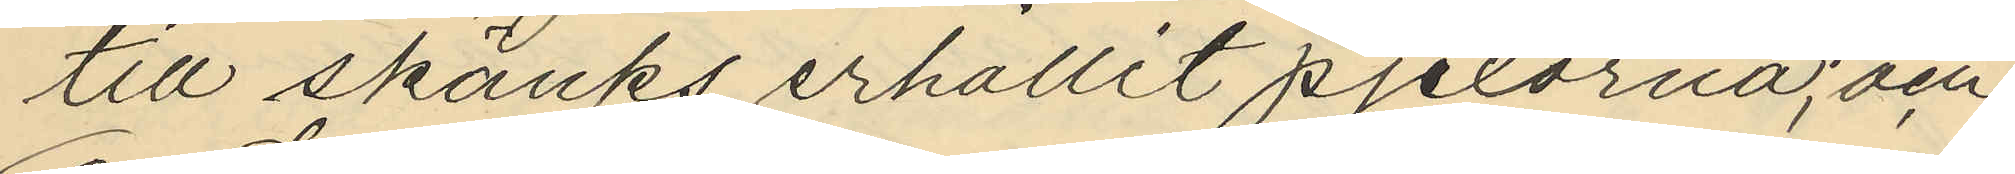till skänks erhållit pjexorna; och
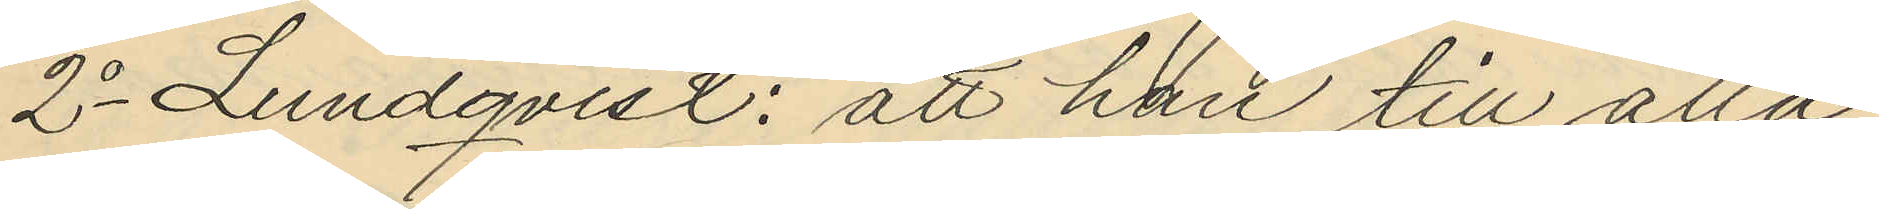2o Lundqvist: att han till alla
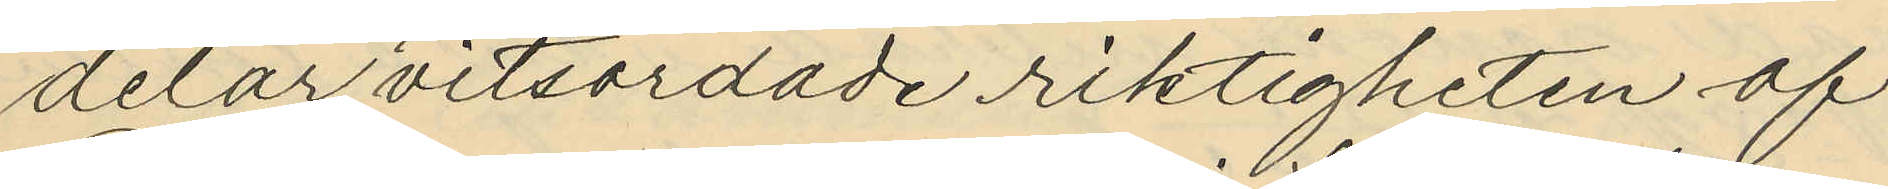delar vitsordade riktigheten af
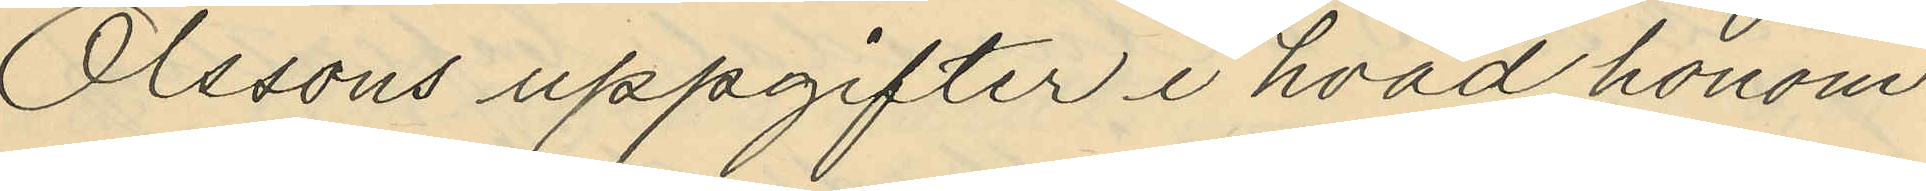Olssons uppgifter i hvad honom
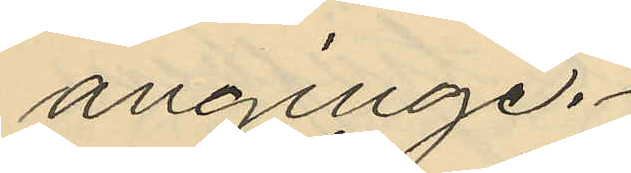anginge.
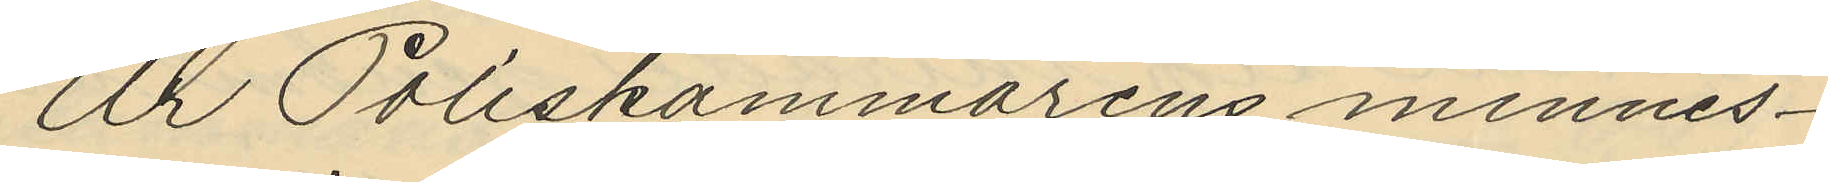Ur Poliskammarens minnes¬
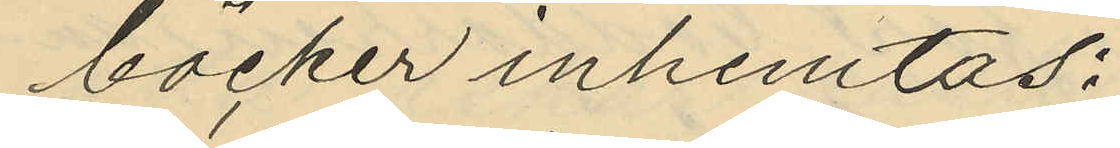böcker inhemtas:
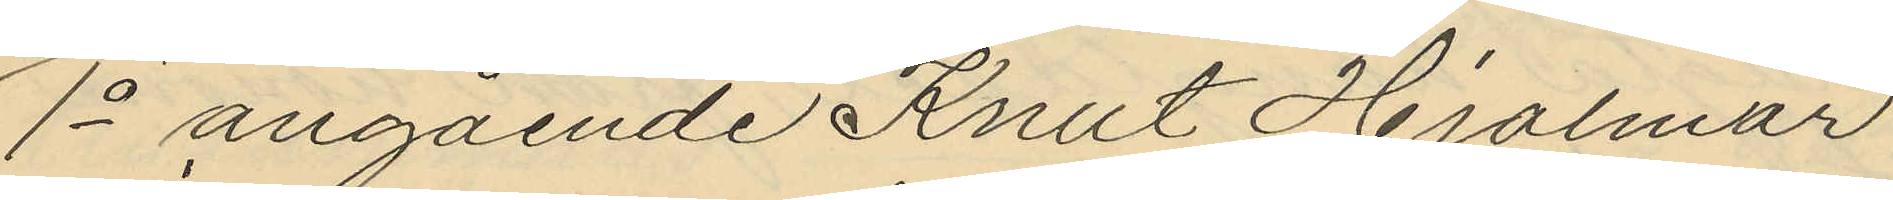1o angående Knut Hjalmar
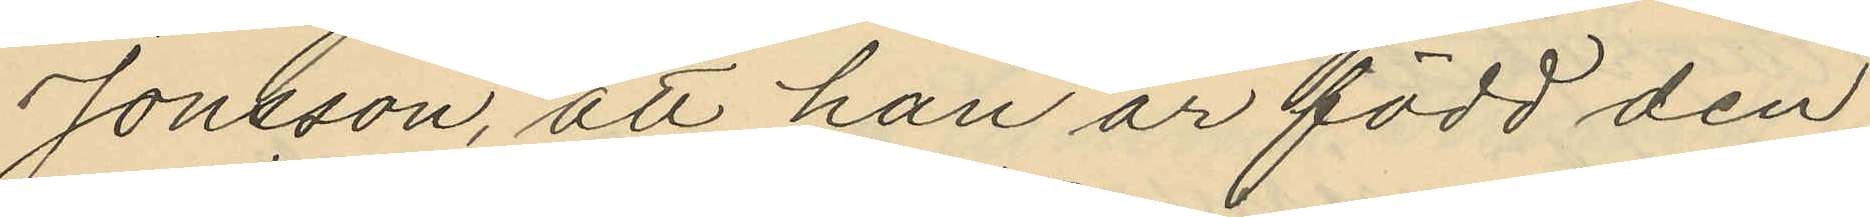Jonsson, att han är född den
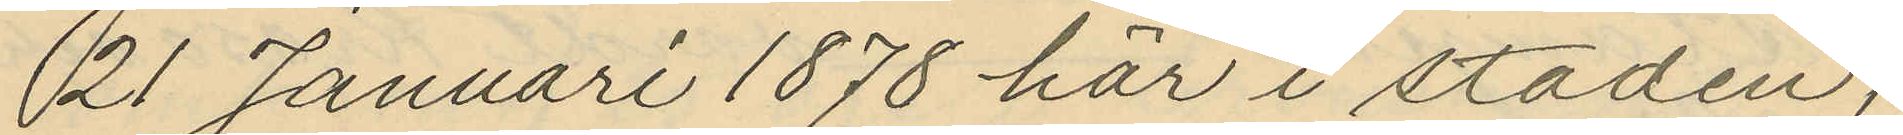21 Januari 1878 här i staden;
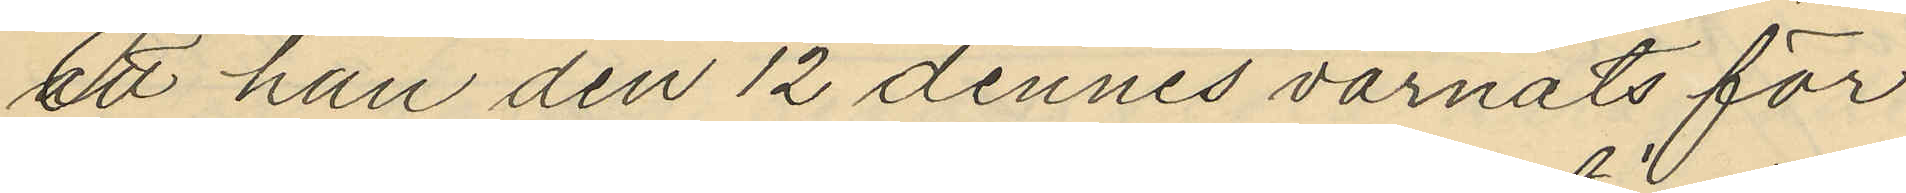att han den 12 dennes varnats för
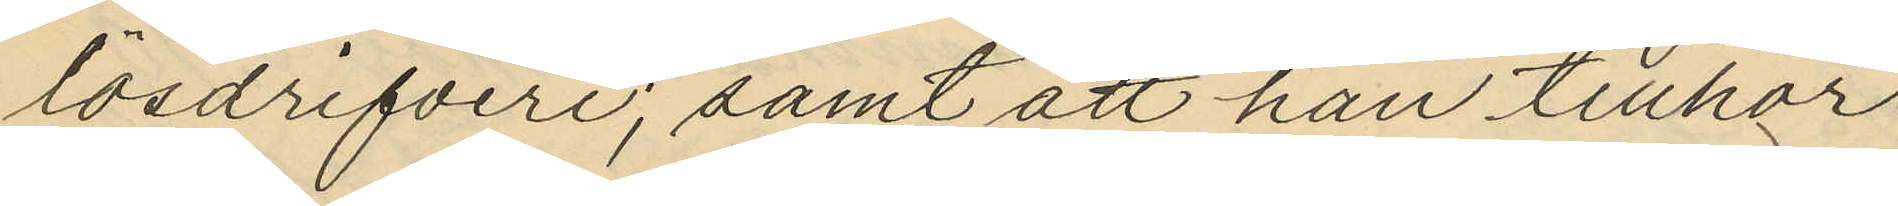lösdrifveri; samt att han tillhör
